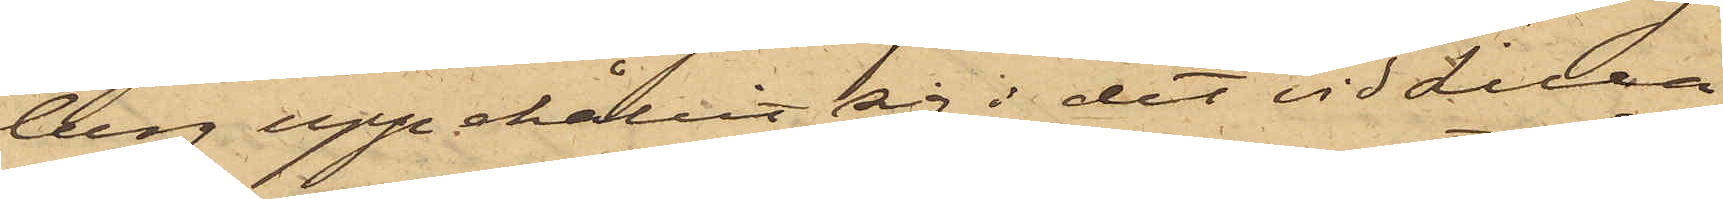berg uppehållit sig i det vid Lilla
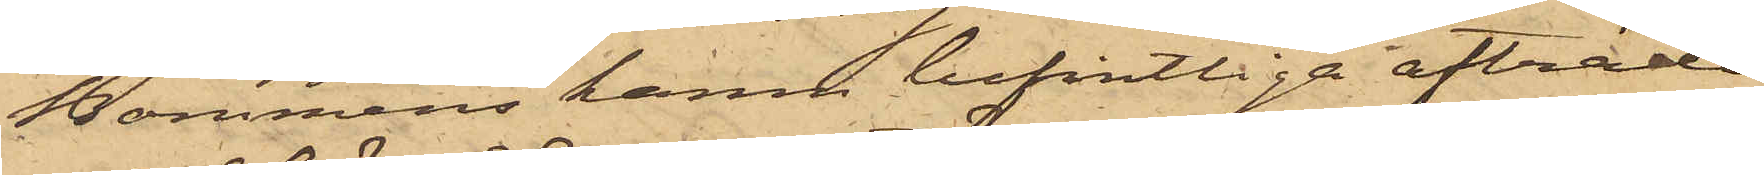Bommens hamn befintliga afträde,
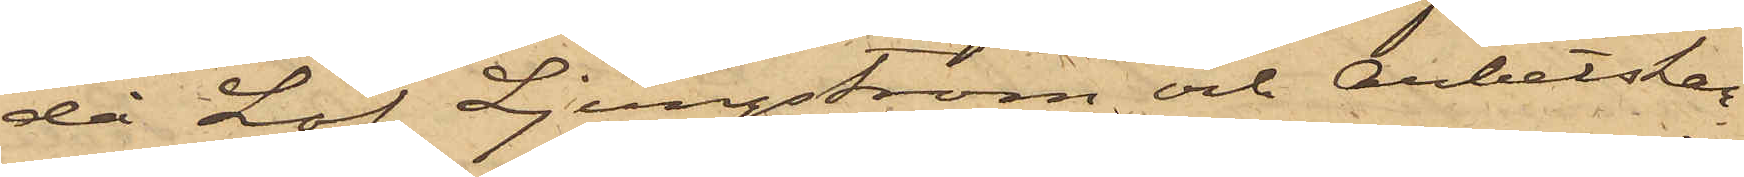då Löf, Ljungström och Arbetskar¬
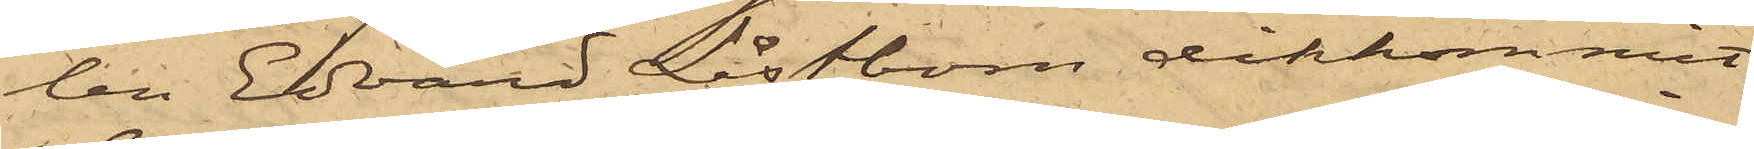len Edvard Låstbom ditkommit,
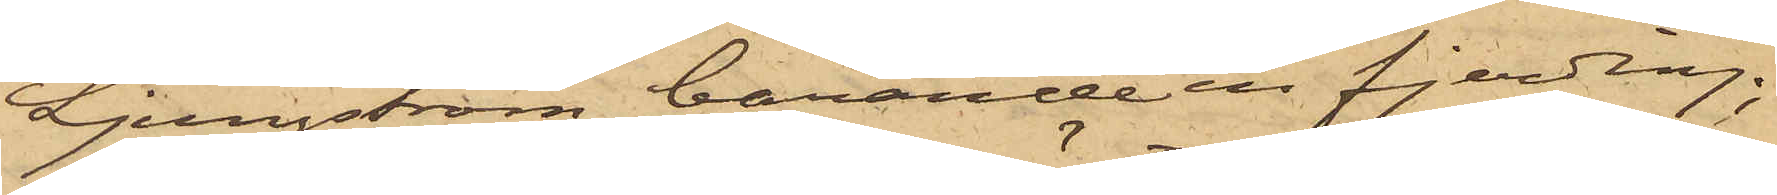Ljungström bärande en fjerding,
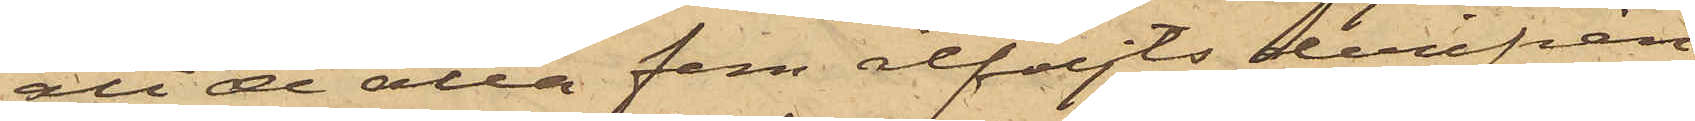att de alla fem åtföljts derifrån
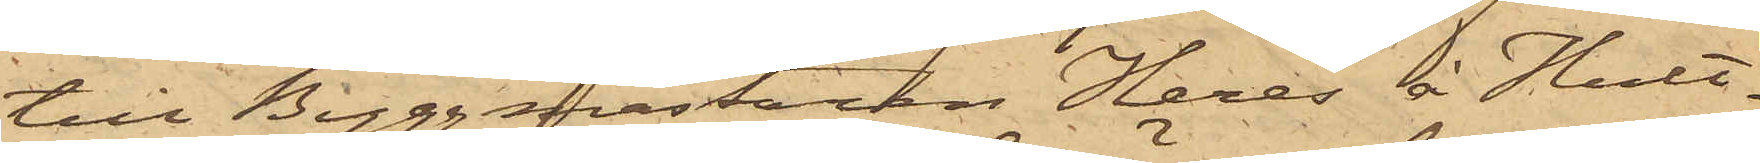till Byggmästaren Heres' å Hult¬
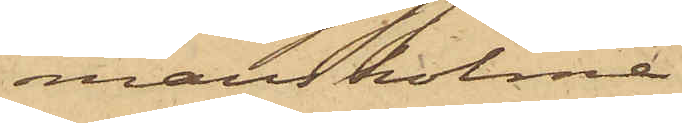man holme
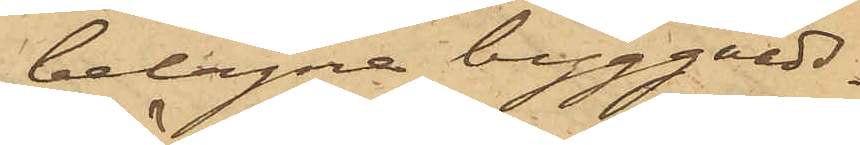belägna byggnads¬
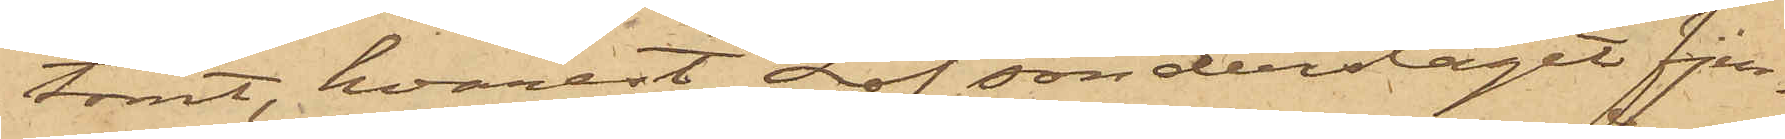tomt, hvarest Löf sönderslagit fjer¬
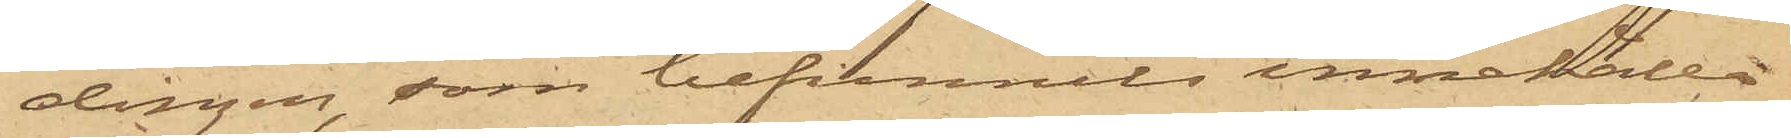dingen, som befunnits innehålla
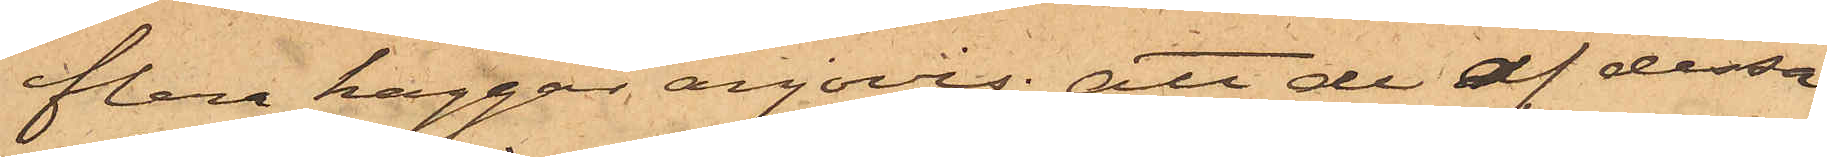flera kaggar anjovis; att de af dessa
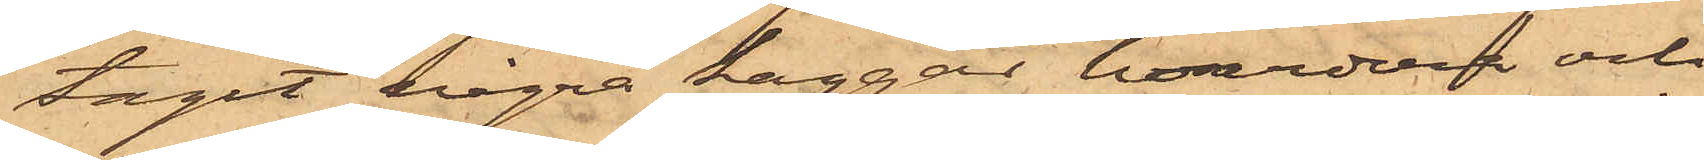tagit några kaggar hvardera och
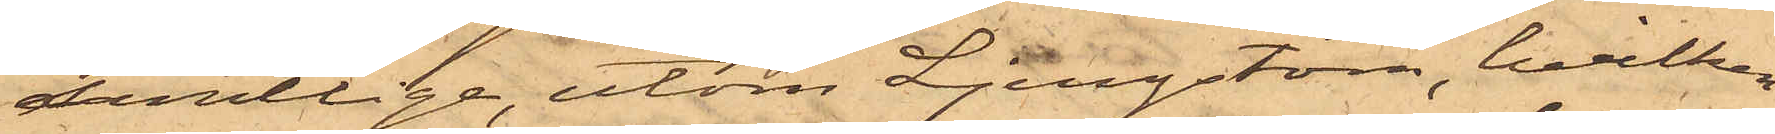samtlige, utom Ljungström, hvilken
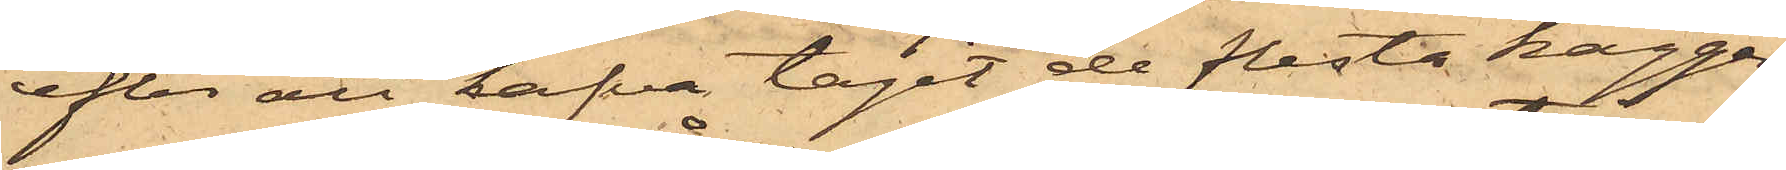efter att hafva tagit de flesta kaggar¬
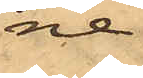ne
